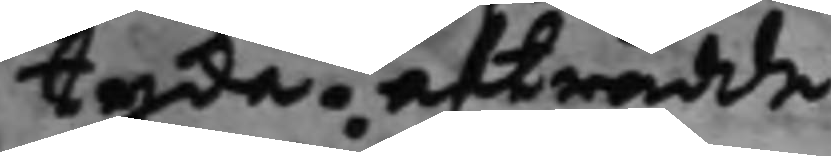tyda. afträdde.
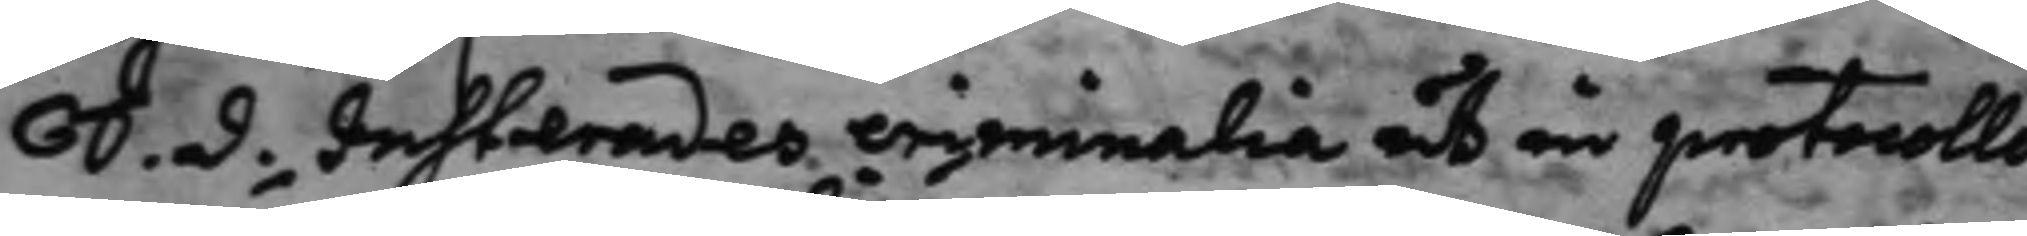S. d. Justerades criminalia ut in protocollo
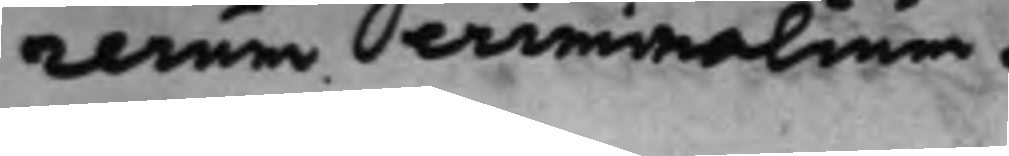rerum criminalium.
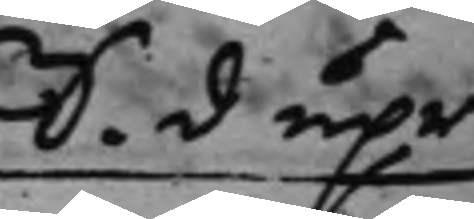S. d. upr¬
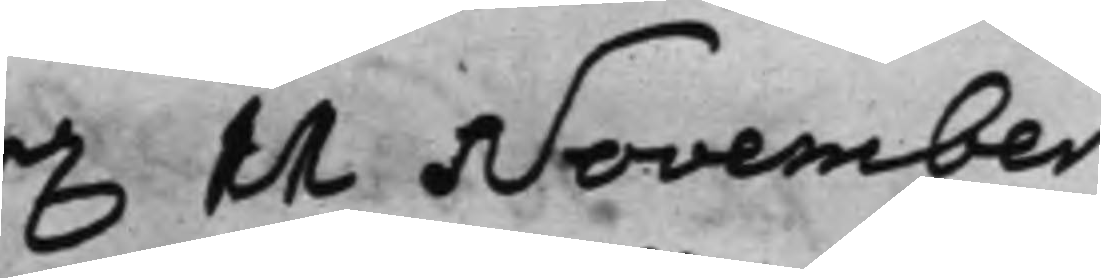d. 11 November
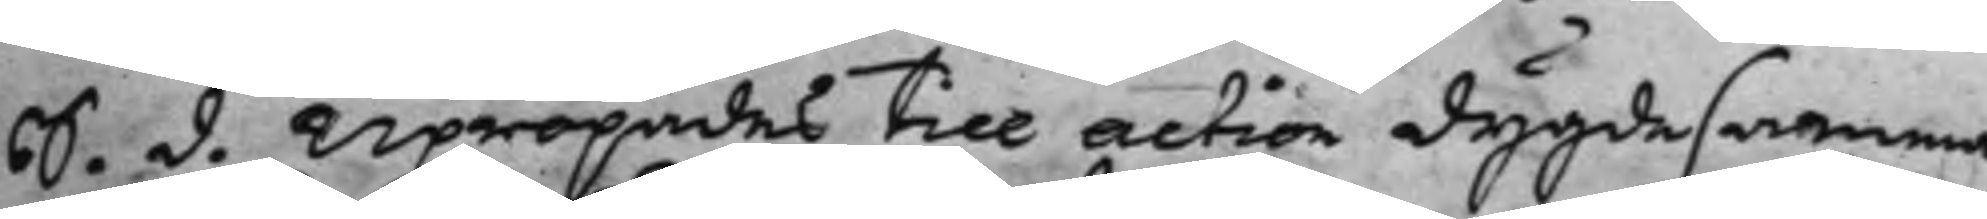S. d. Upropades till action dygdesamma
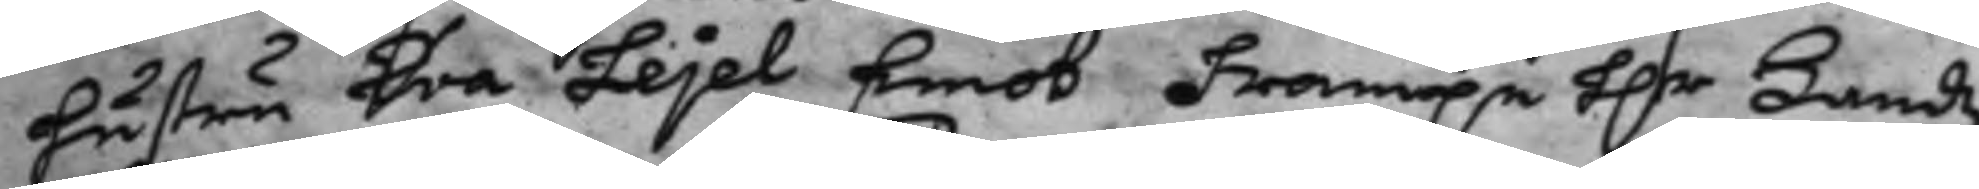hustru Eva Lejel Emot fram.e h.r Landz¬
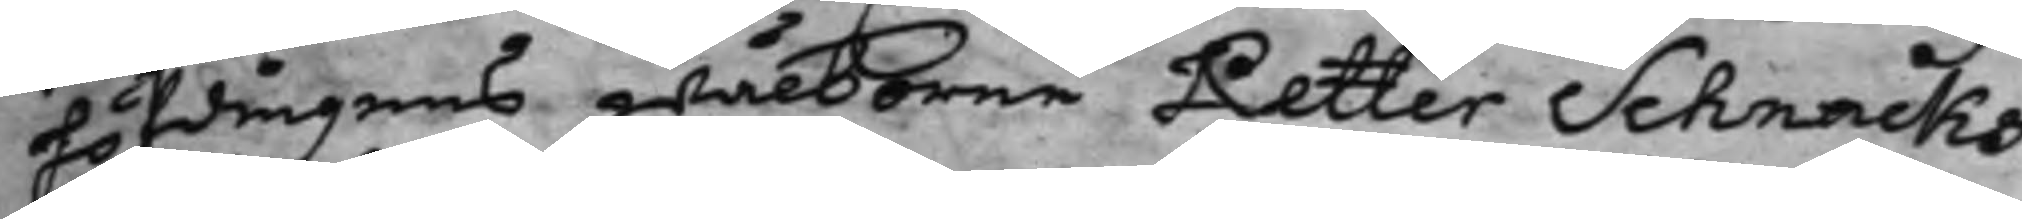höfdingens Wälborne Petter Schnacks
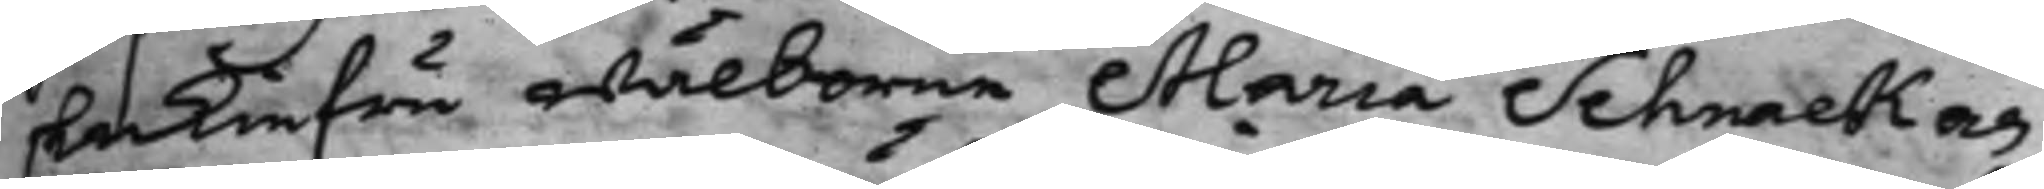Enkiefru wälborne Maria Schnack och
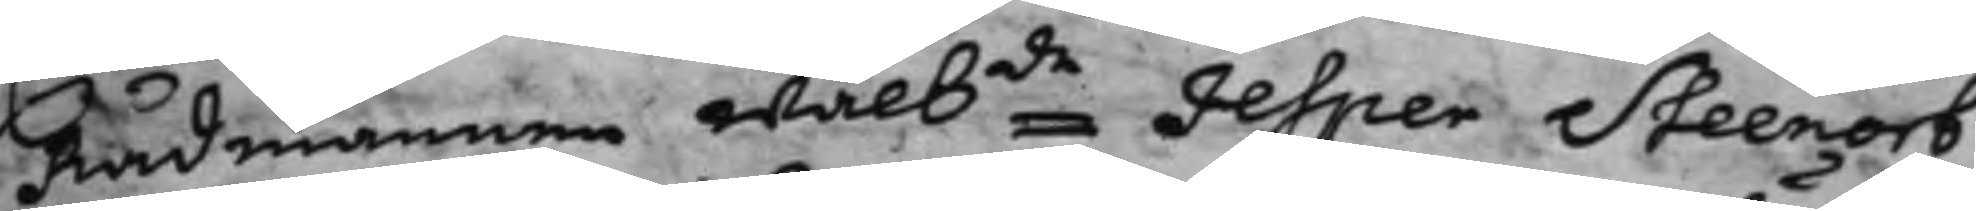Rådmannen Wälbde Jesper Steenorb
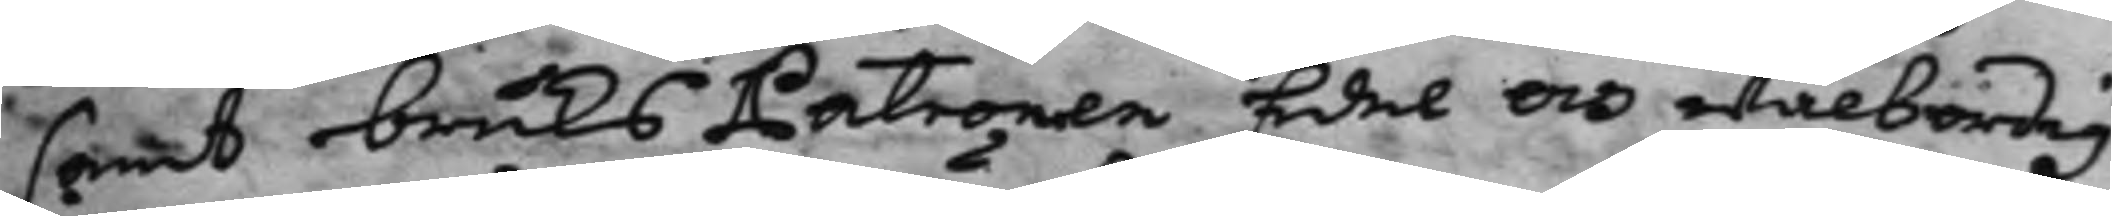samt BruksPatronen Edel och wälbördig
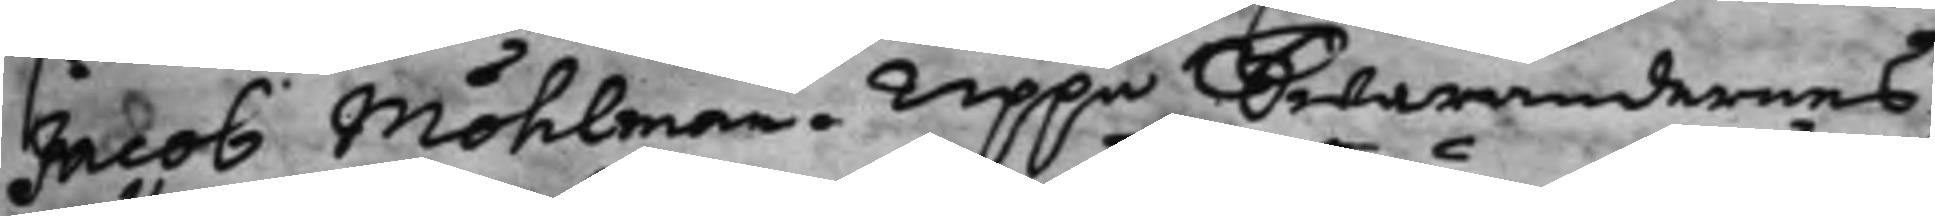Jacob Möhlman, Uppå Swarandernes
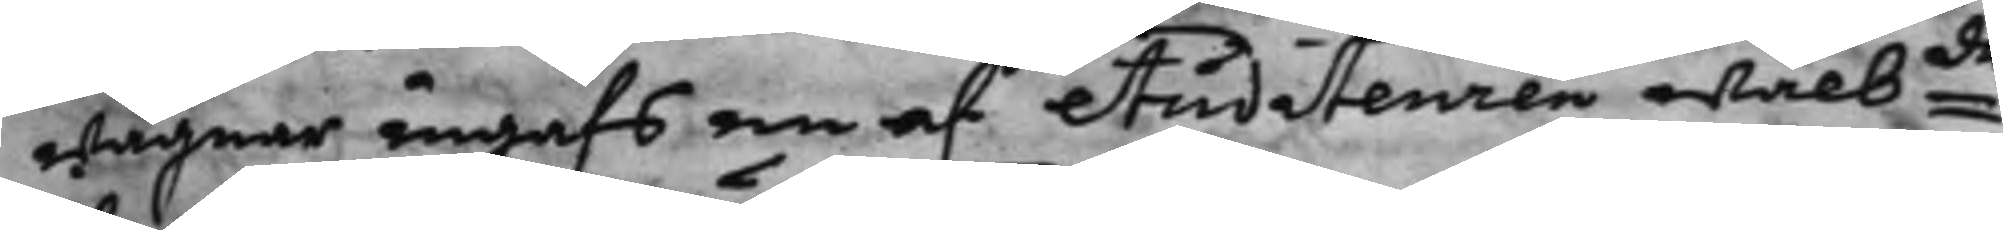wägnar ingafs en af Auditeuren wälbde
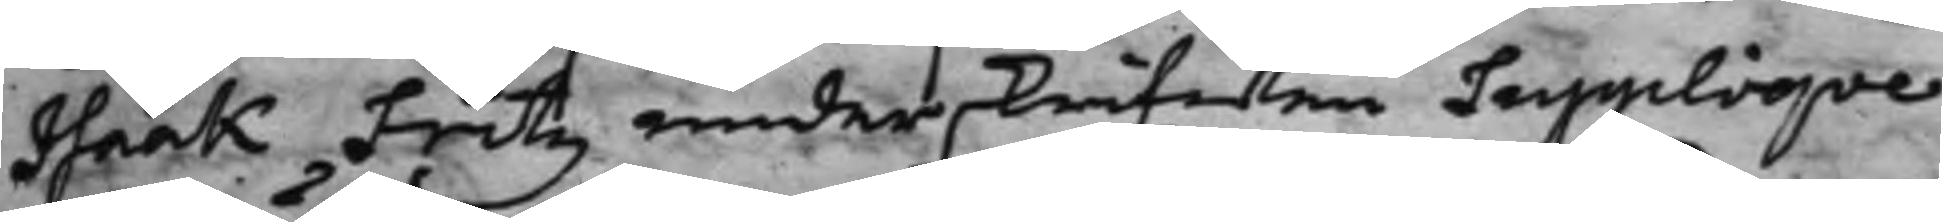Isaak Fritz underskrifwen Suppliqve
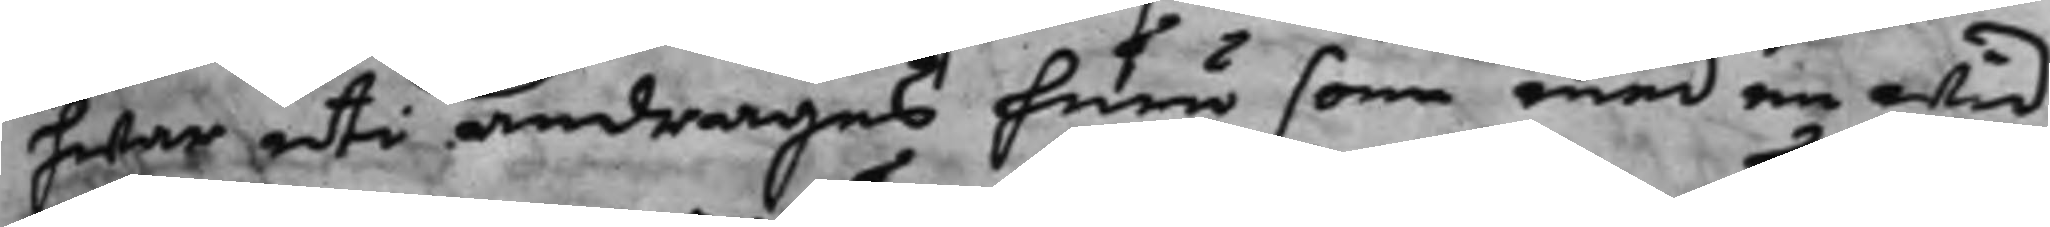hwar uti andrages huru som med en wid¬
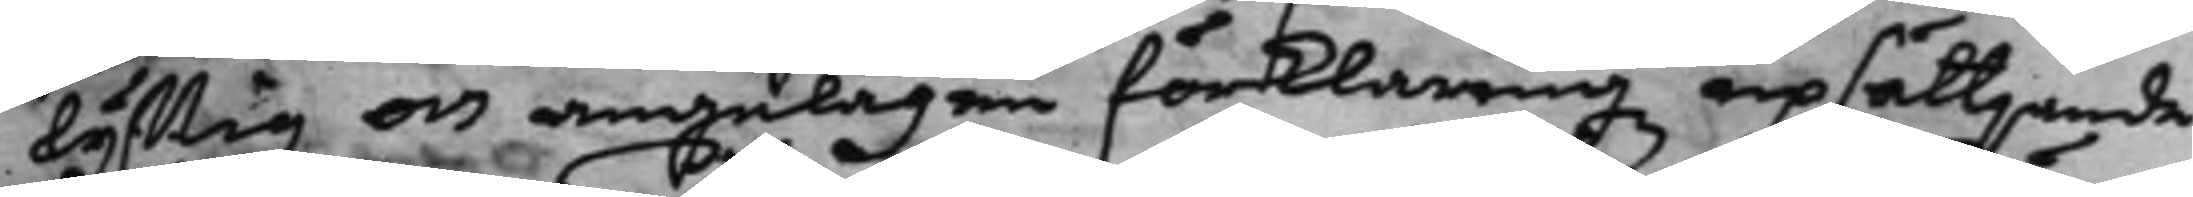lyftig och angelägen förklaringz upsättjande
